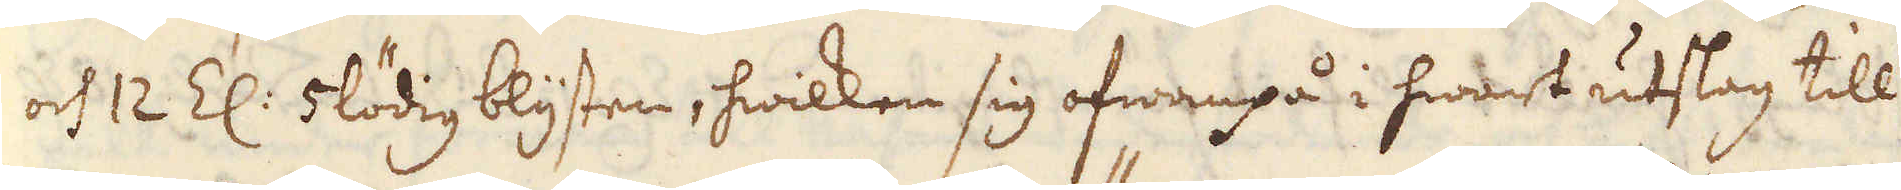och 12 Z: 5 lödig blysten, hwilken sig ofwanpå i hwart utslag till
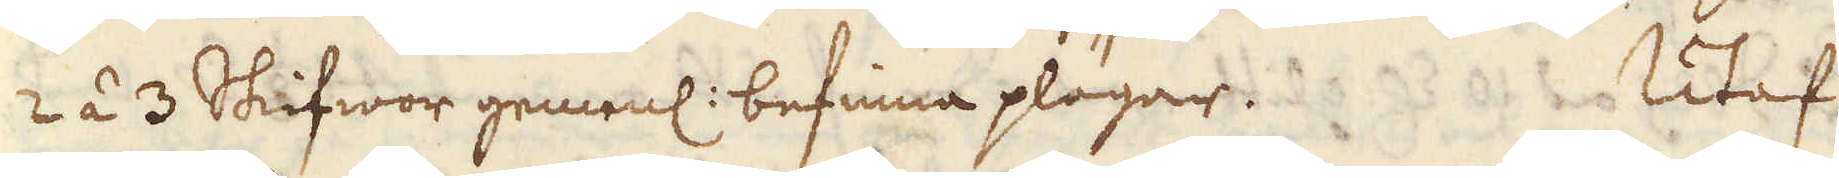2 á 3 Skifwor gemenl: befinna plägar. Utaf
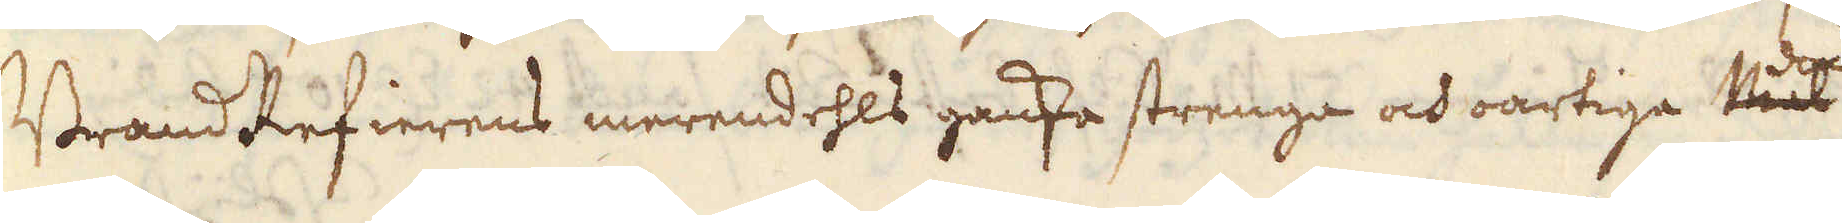BrandRefierens merendehls ganska strenga och oartiga dock
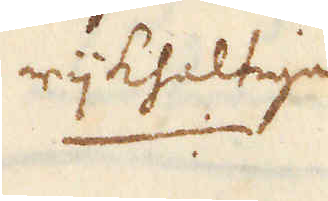rijkhaltiga
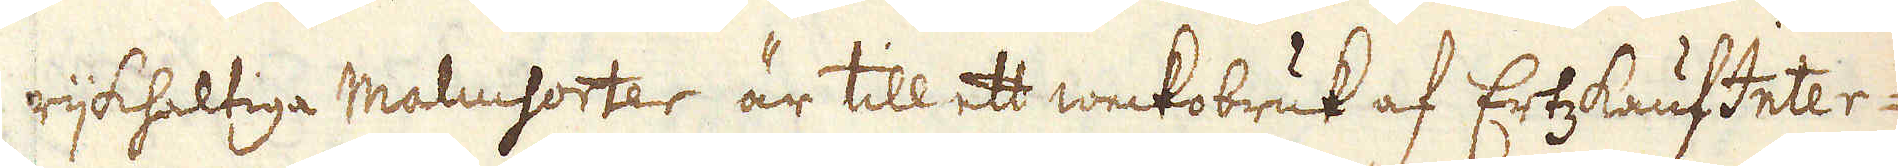rijkhaltiga Malmsorter är till ett weckobruk af ErtzKaufInter-
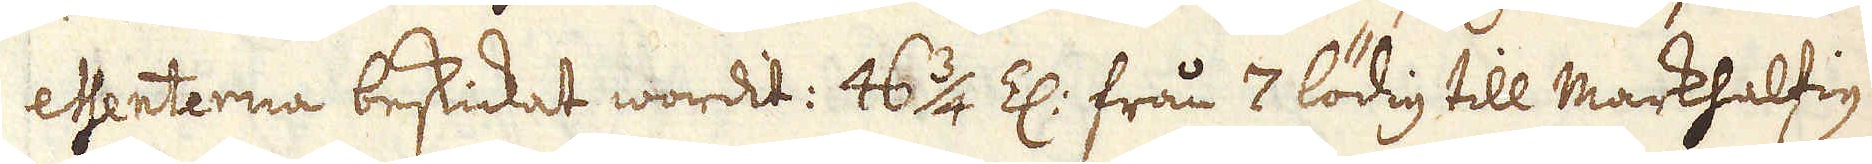essenterna beskickat wordit: 46 3/4 Z: från 7 lödig till markhaltig
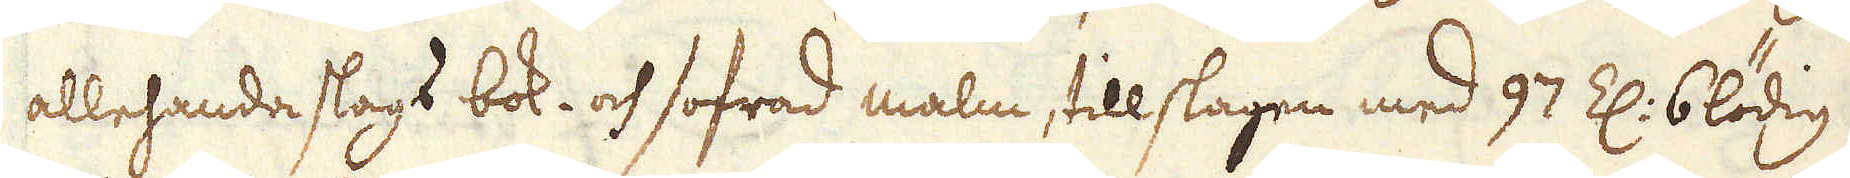allehanda slags bok- och sofrad malm, tillslagen med 97 Z: 6lödig
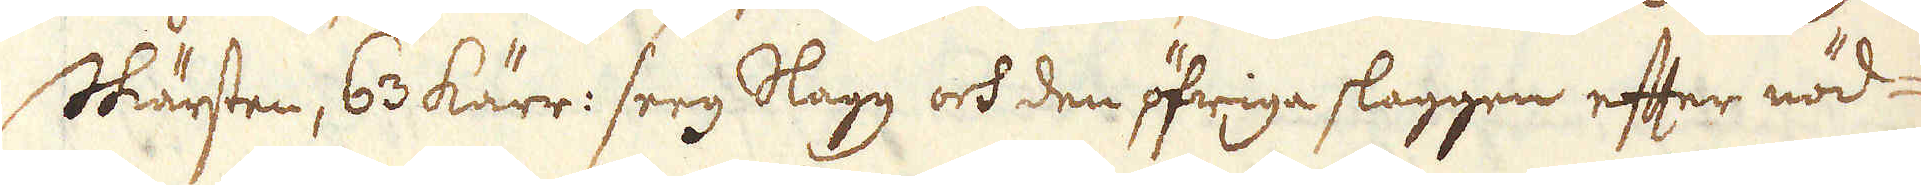Skärsten, 63 kärr: seeg Slagg och den öfriga slaggen efter nöd-
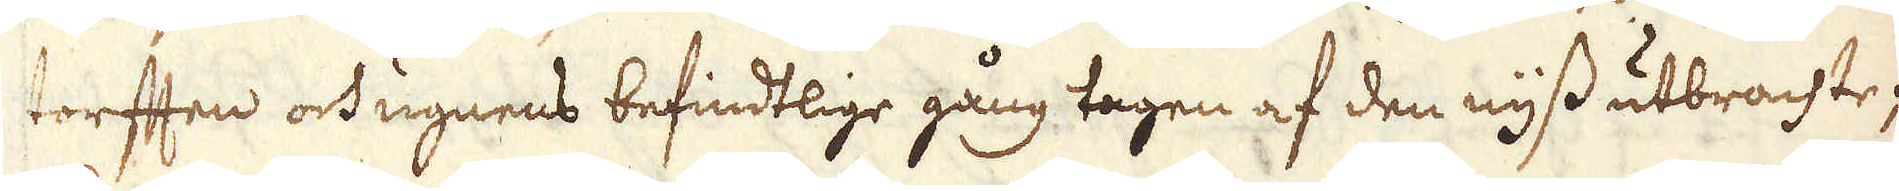torften och ugnens befindtlige gång tagen af den nyss utbrachte;
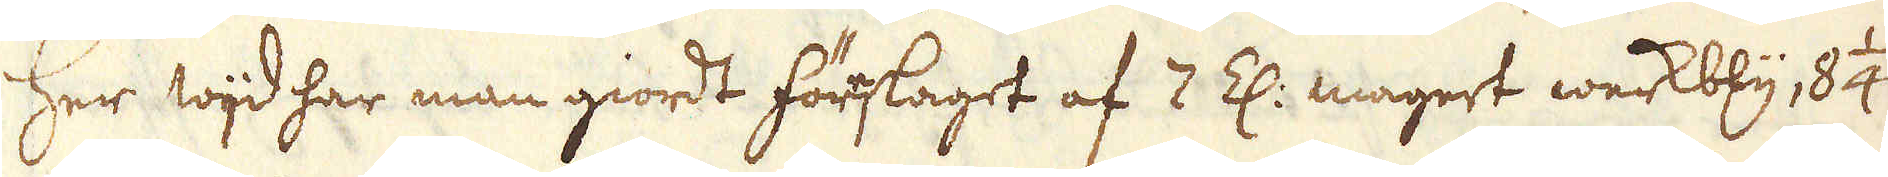Her wijd har man giordt förslaget af 2 Z: magert werkbly, 8 1/4
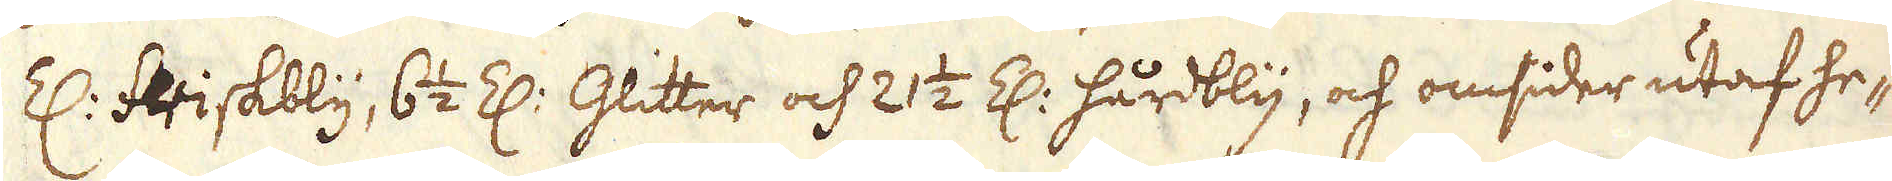Z: friskbly, 6 1/2 Z: Glitter och 21 1/2 Z: hårdbly, och omsider utaf he-
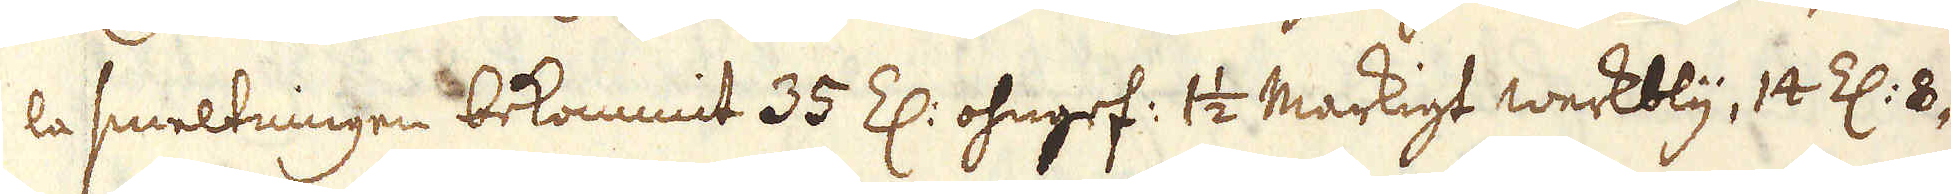la smeltningen bekommit 35 Z: ohngef: 1 1/2 Markigt werkbly, 12 Z: 8-
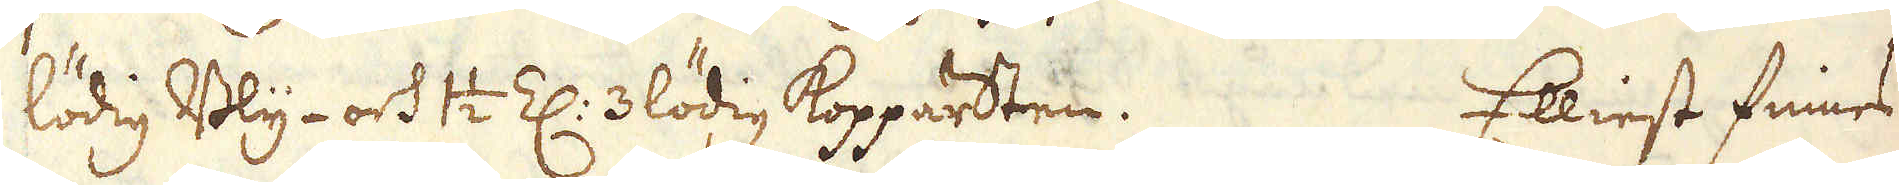lödig Bly- och 1 1/2 Z: 3 lödig Kopparsten. Elliest finnes
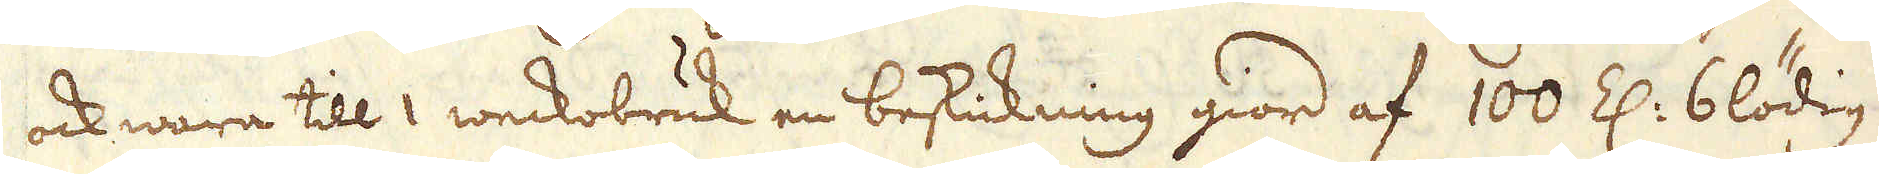ock wara till 1 weckobruk en beskickning giord af 100 Z: 6 lödig
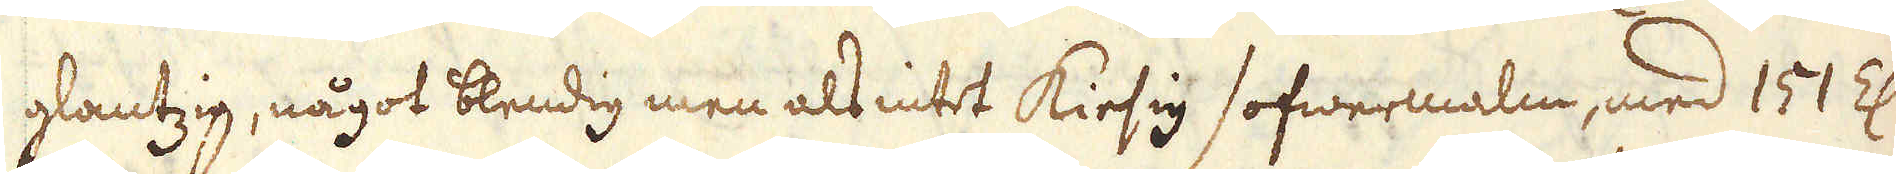glantzig, något blendig men als intet kiesig sofwermalm, med 151 Z:
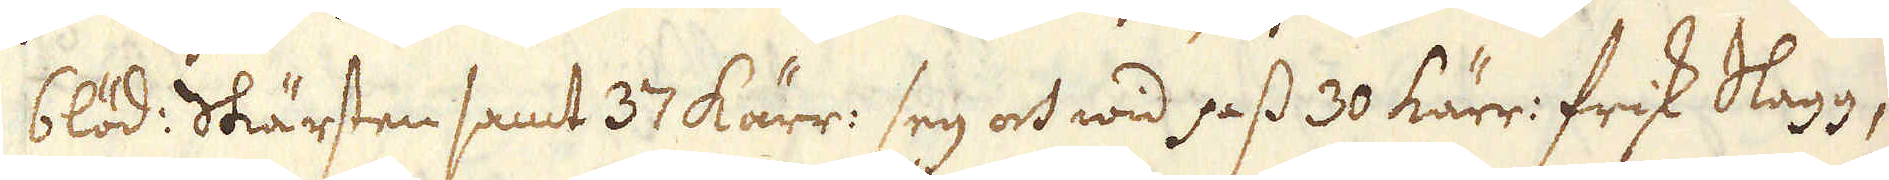6löd: Skärsten samt 37 kärr: seg och wid pass 30 kärr: frisk Slagg,
